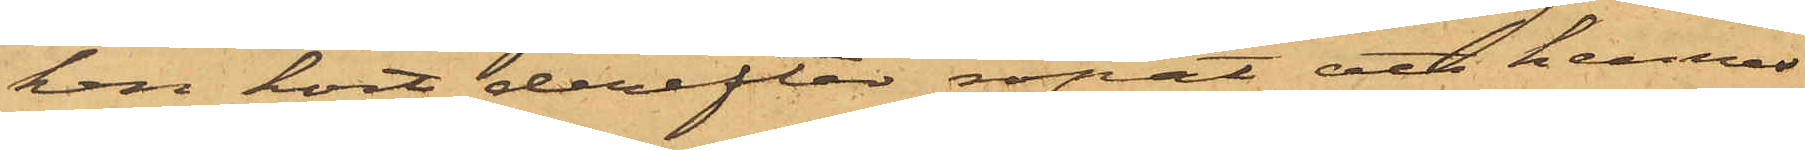ken kort derefter ropat att hennes
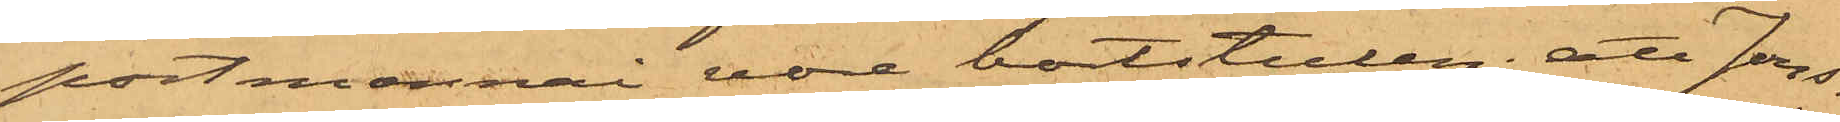portmonnai vore bortstulen; att Jons¬
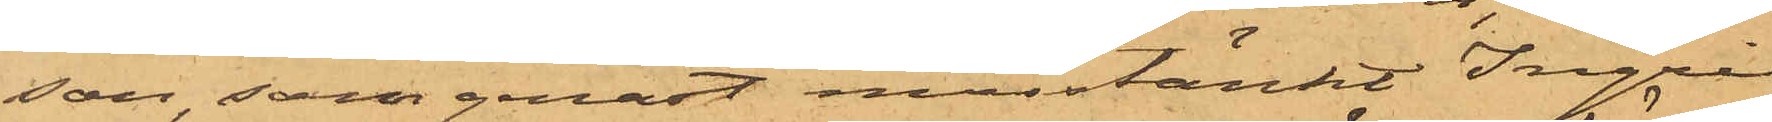son, som genast misstänkt Ingrid
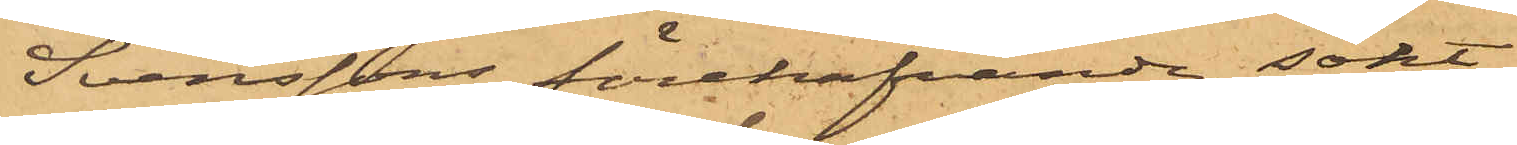Svenssons förehafvande, sökt
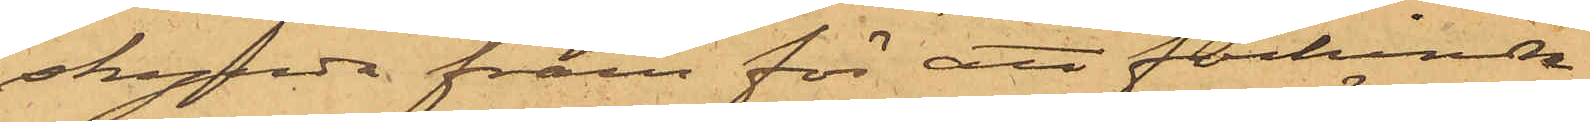skynda fram för att förhindra
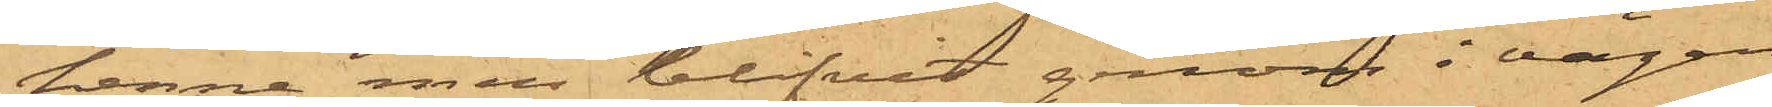henne men blifvit genom i vägen
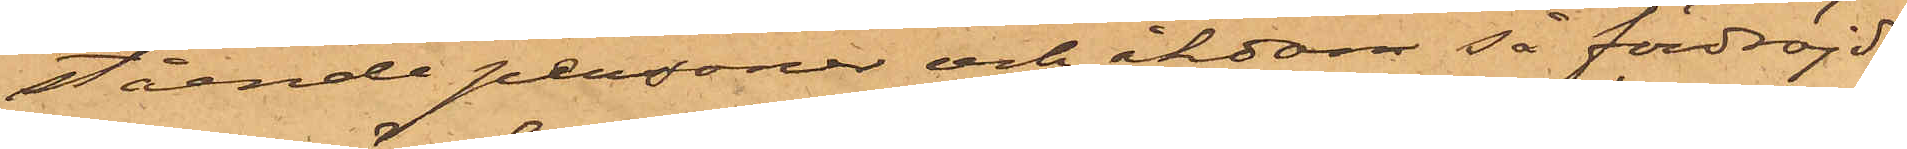stående personer och åkdon så fördröjd
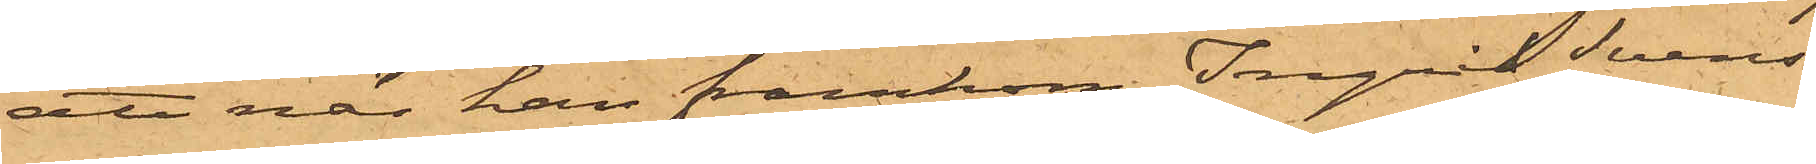att när han framkom Ingrid Svens¬
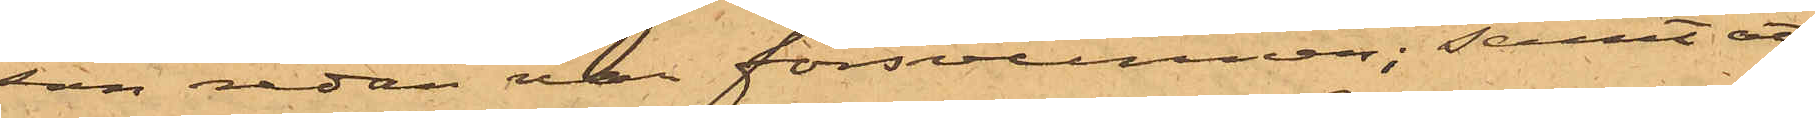son redan var försvunnen; samt att
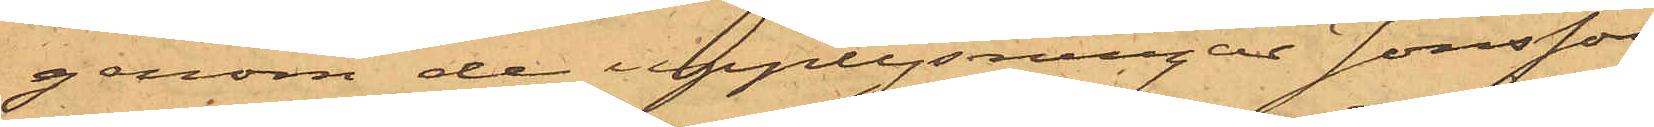genom de upplysningar Jonsson
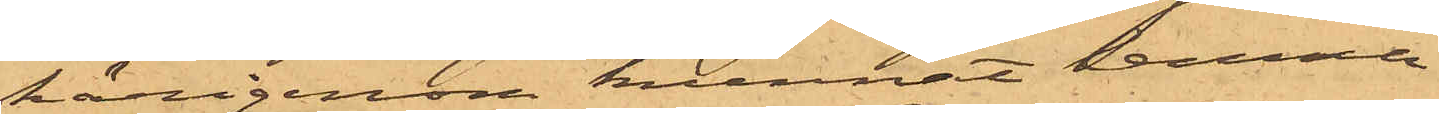härigenom kunnat lemna
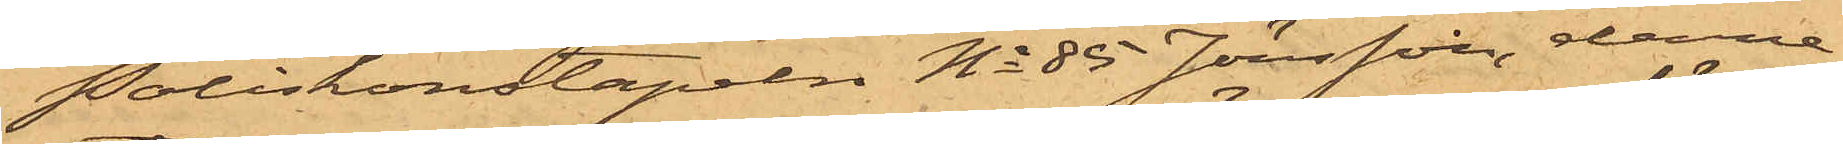Poliskonstapeln No 85 Jönsson, denne
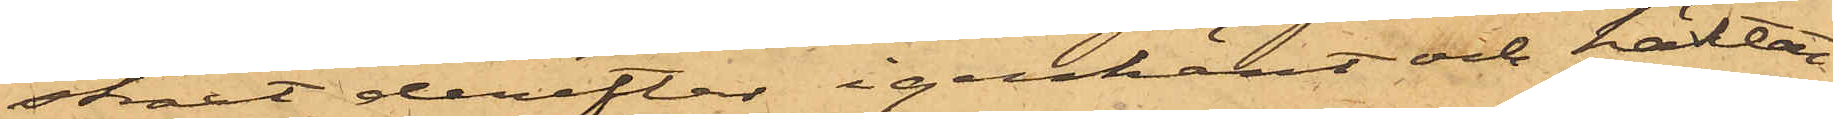straxt derefter igenkänt och häktat
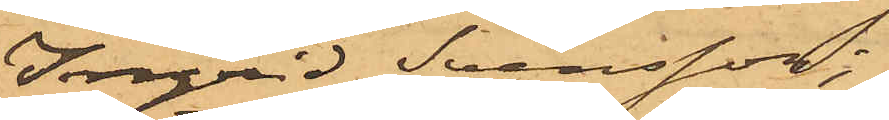Ingrid Svensson;
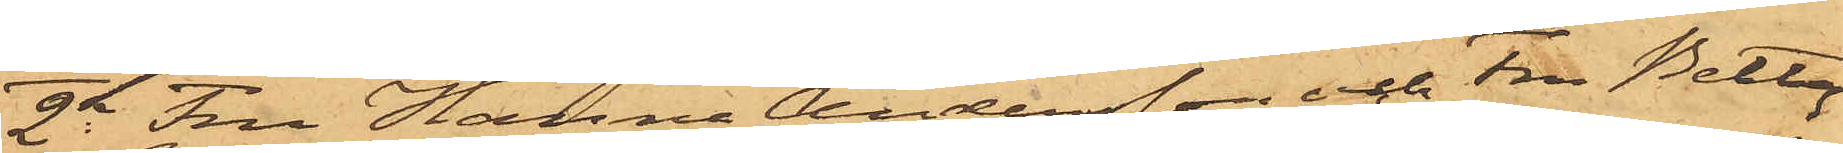2o Fru Hanna Andersson och Fru Betty
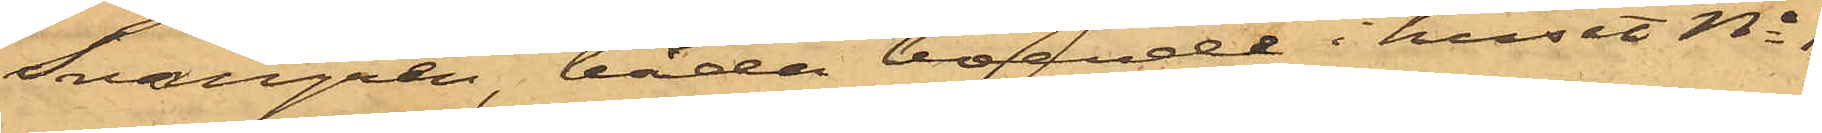Svangren, båda boende i huset No 1
